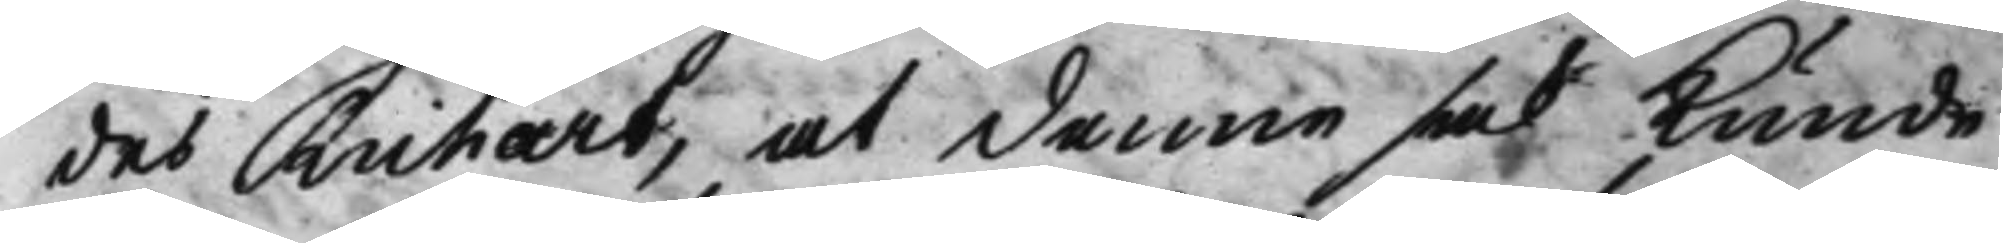des Richart, at denne sak kunde
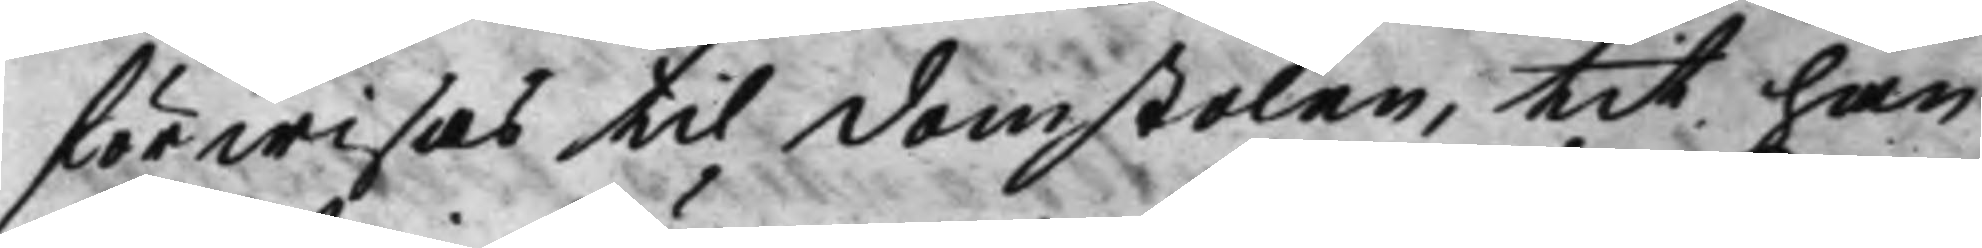förwisas til domstolen, tit han
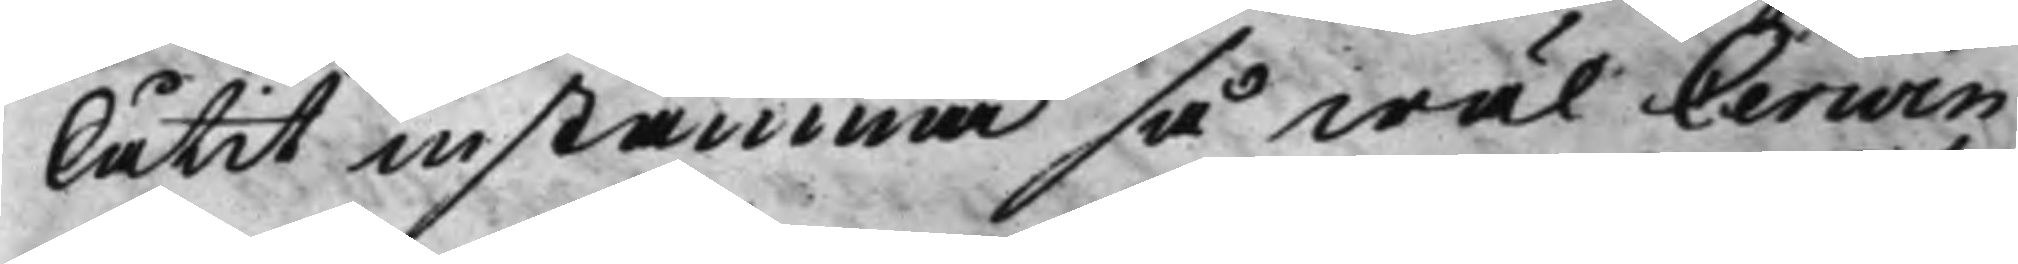låtit instämma så wäl Cerwin
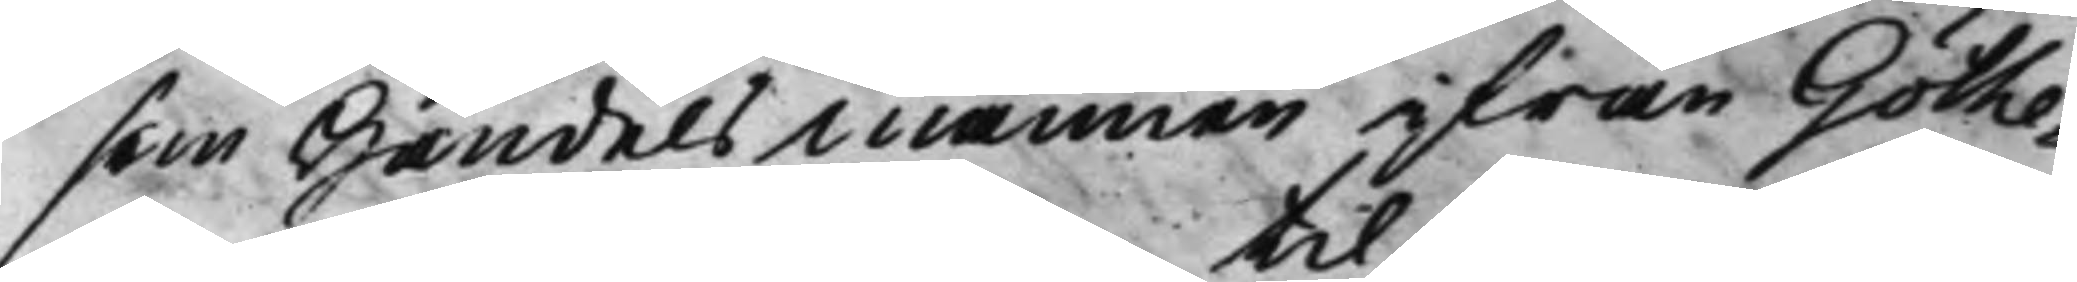som Handelsmannen ifrån Göthe¬
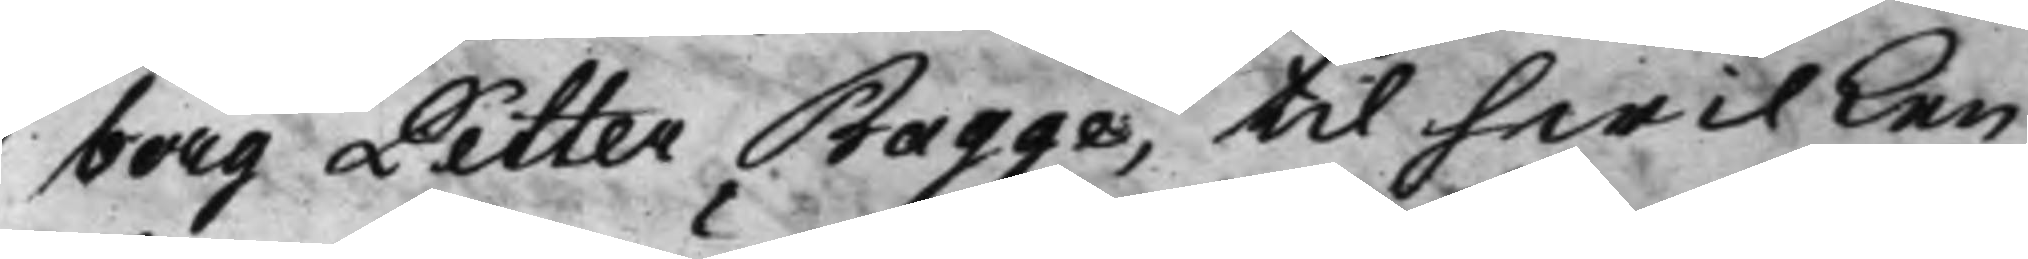borg Petter Bagge, til hwilken
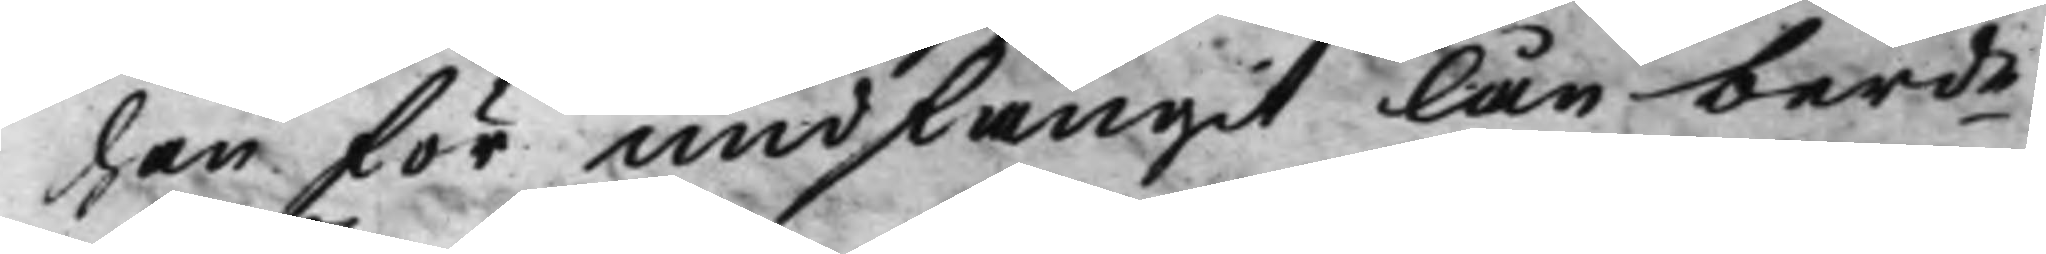han för undfångit lån berde 
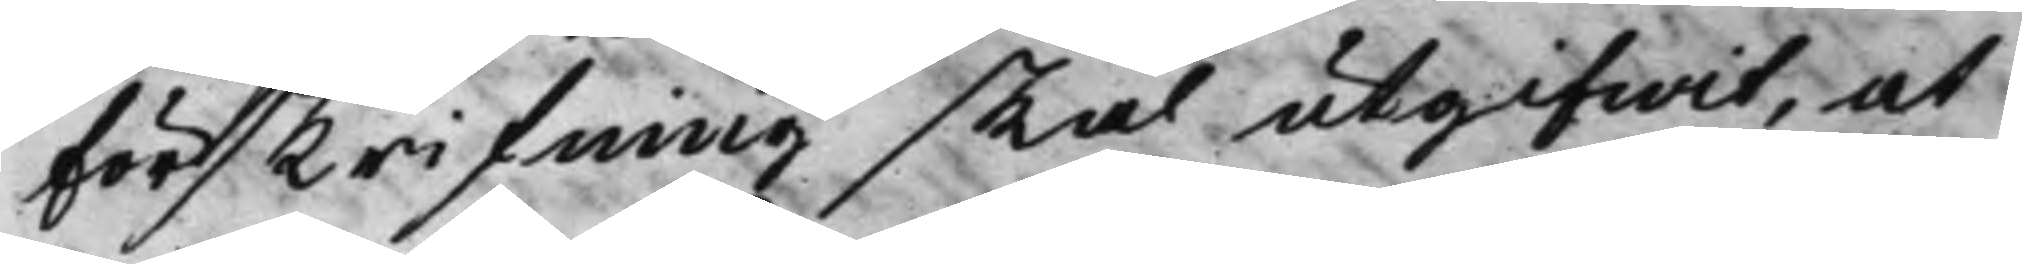förskrifning skal utgifwit, at
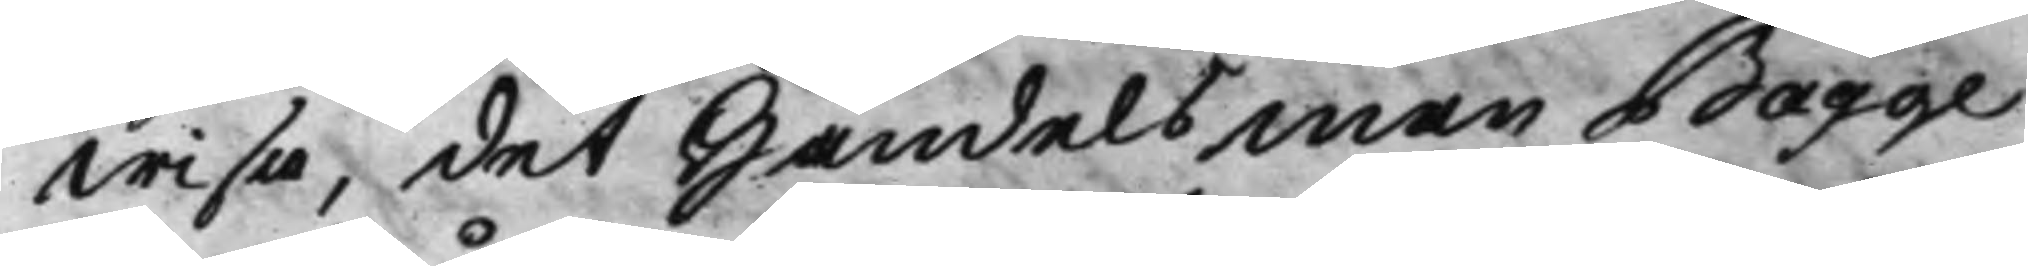wisa, det Handelsman Bagge
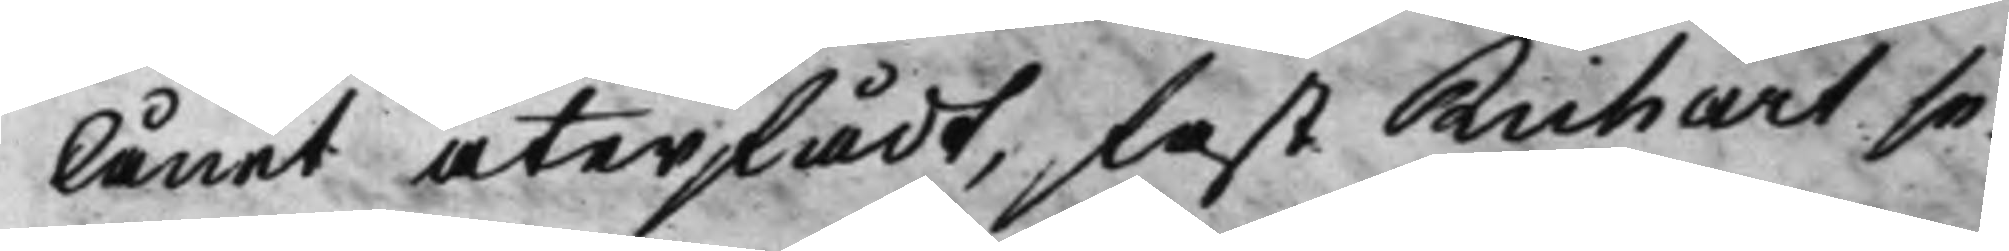lånet återfådt, fast Richart se¬
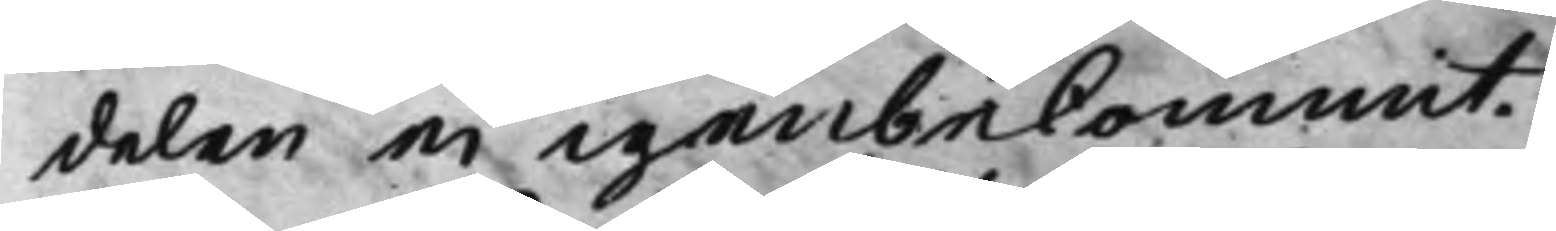delen ei igenbekommit.
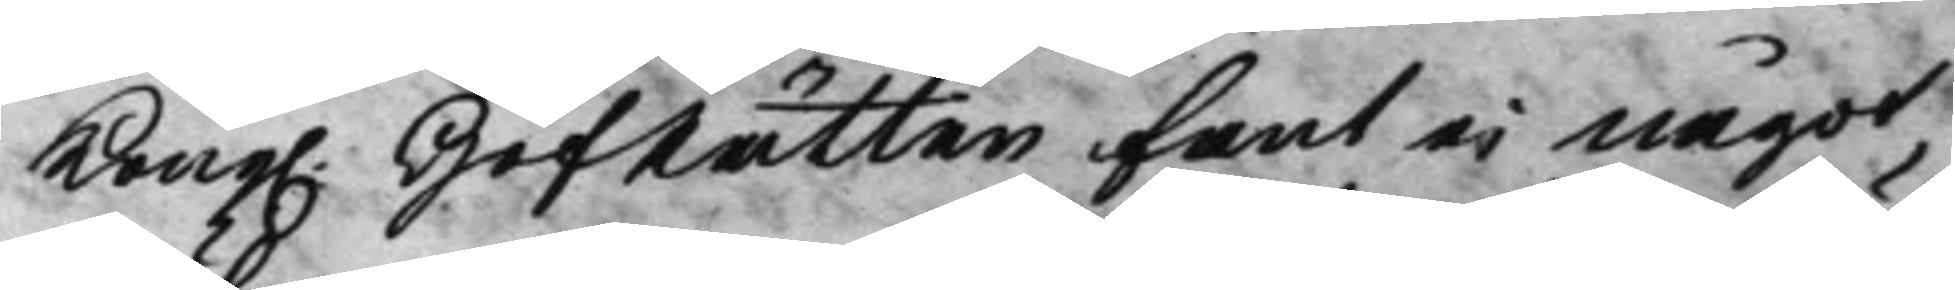Kong. HofRätten fant ei något 
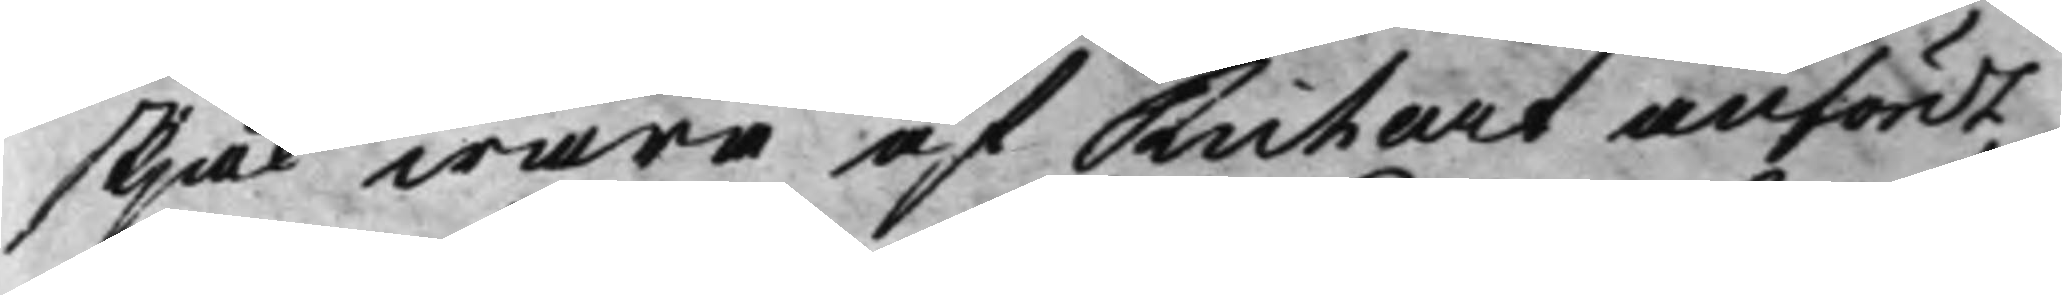skjäl wara af Richart anfördt,
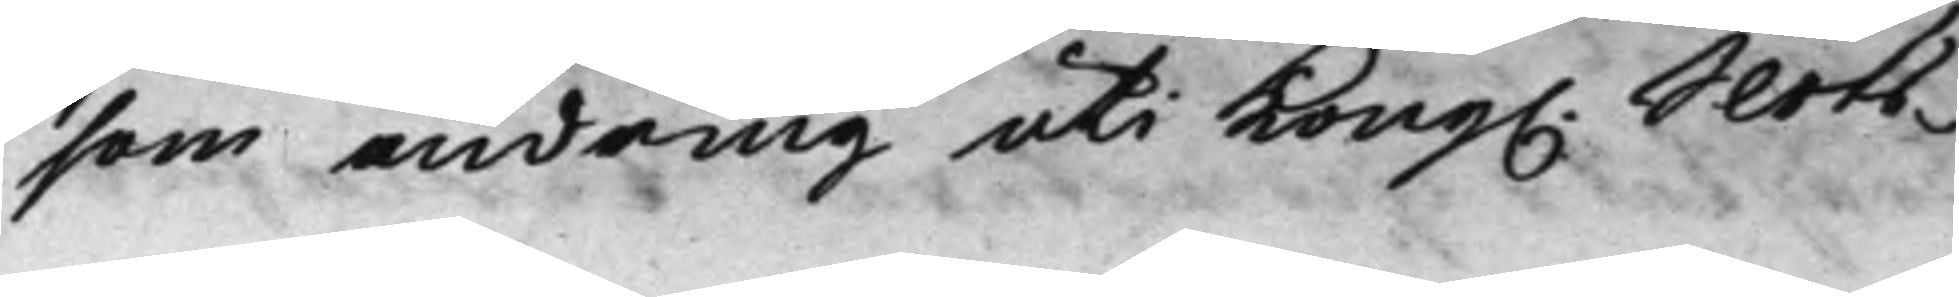som ändring uti Kong. Slots¬ 
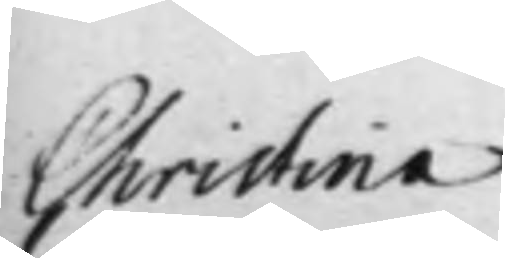Christina
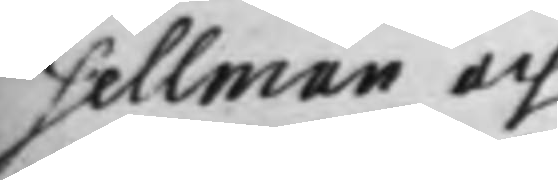Sellman och
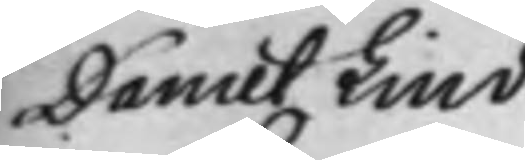Daniel Lind
